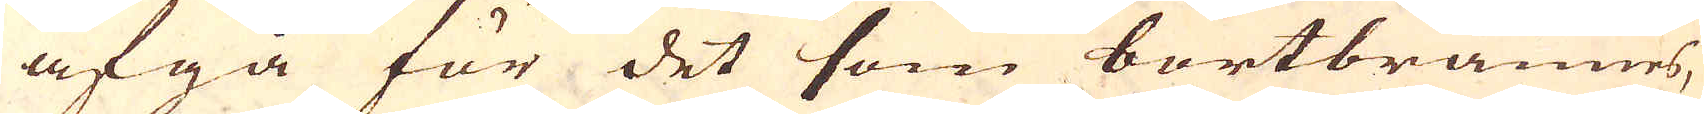afgå för det som bortbrännes,
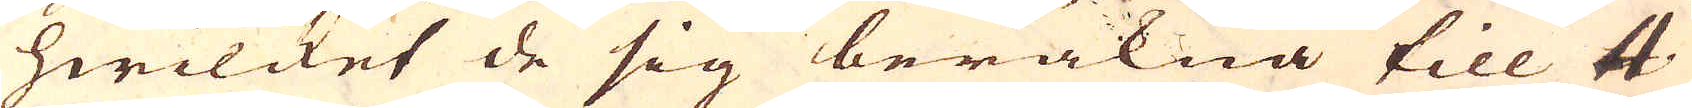hwilcket de sig beräkna till 4
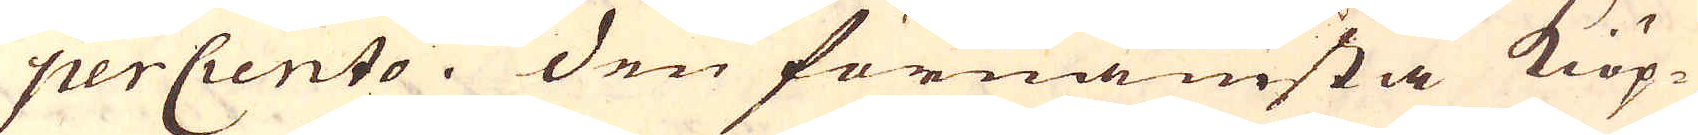perCiento. Den förnämsta Kiöp-
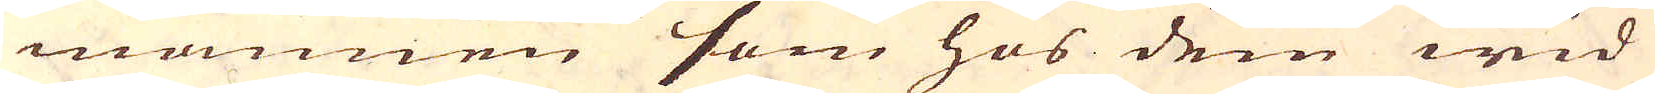mannen som hos dem wid
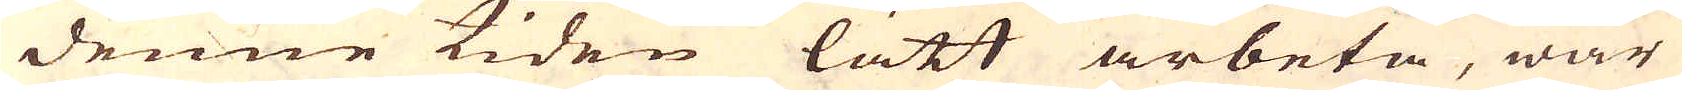denne tiden lätt arbeta, war
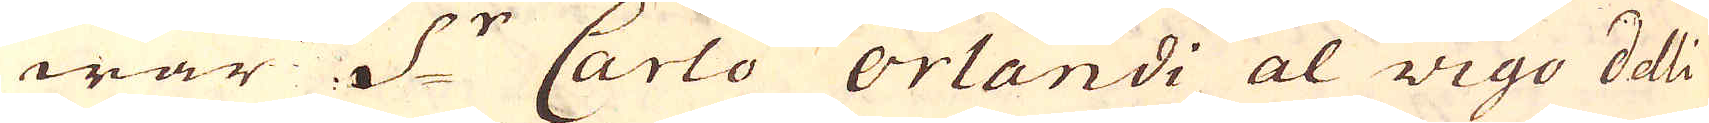war S:r Carlo Orlandi al Vigo delli
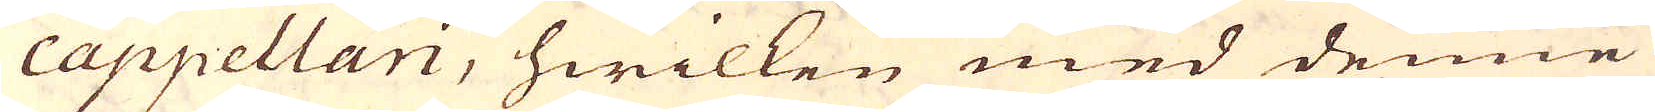cappellari, hwilken med denne
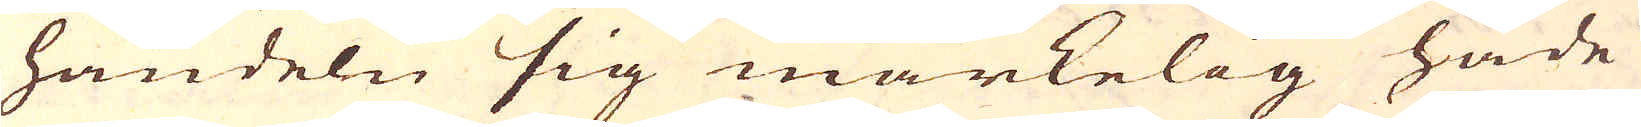handeln sig märkelig hade
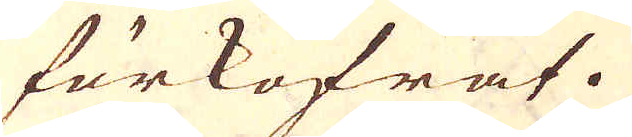förkofrat.
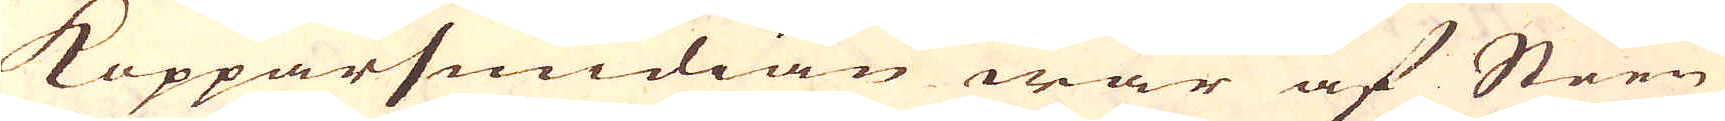Kopparsmidian war af Steen
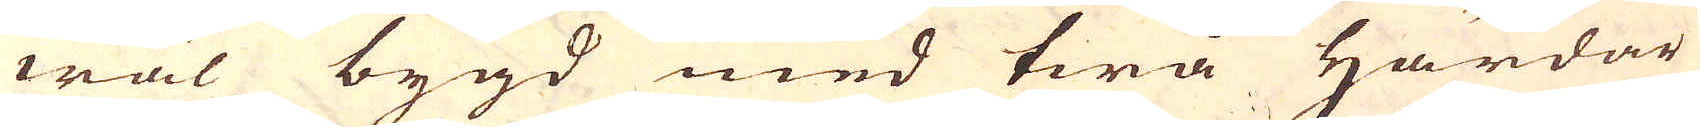wäl bygd med twå Härdar
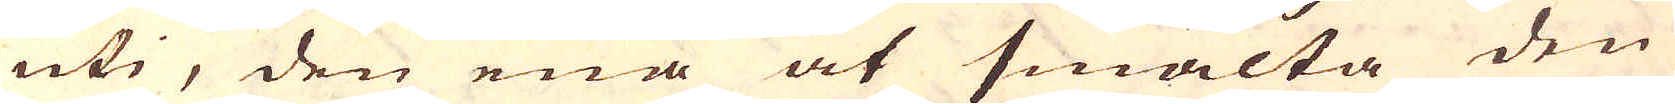uti, den ena at smälta den
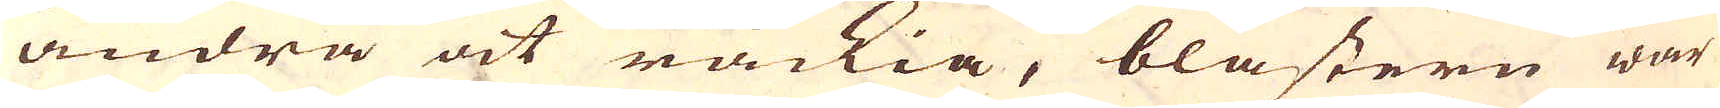andra at räckia, blästern war
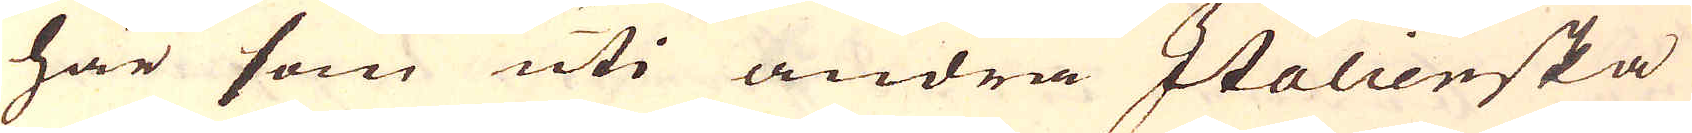här som uti andra Italienska
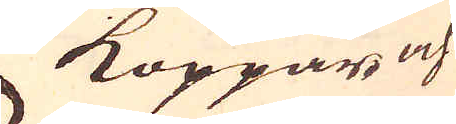Koppar och
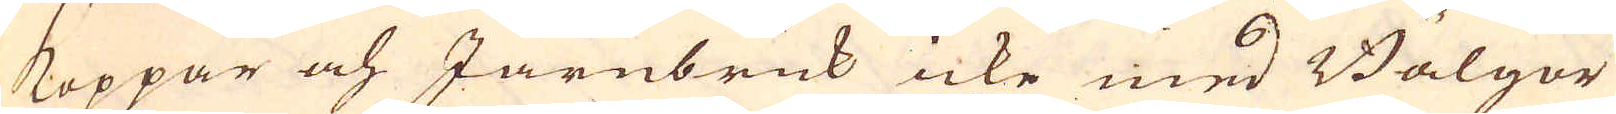Koppar och Järnbruk icke med Bälgor
